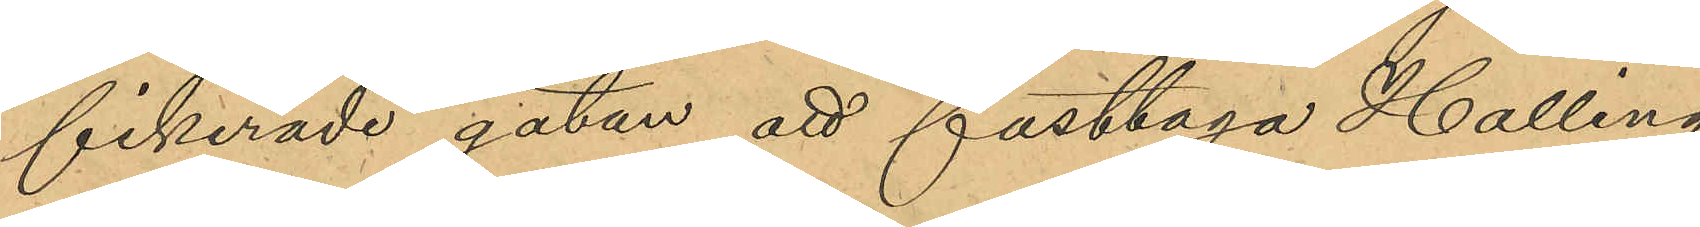fikerade gatan att fasttaga Halling,
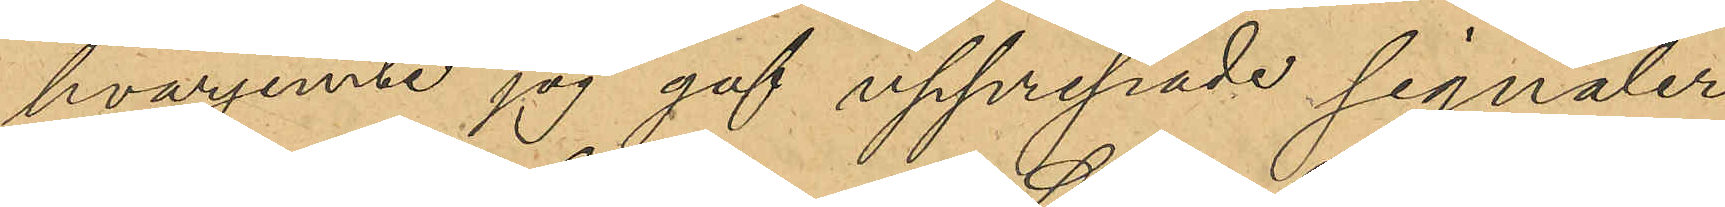hvarjemte jag gaf upprepade signaler
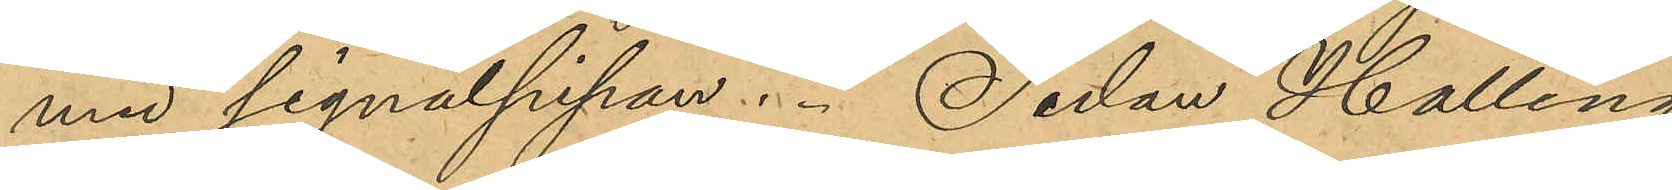med signalpipan. Sedan Halling
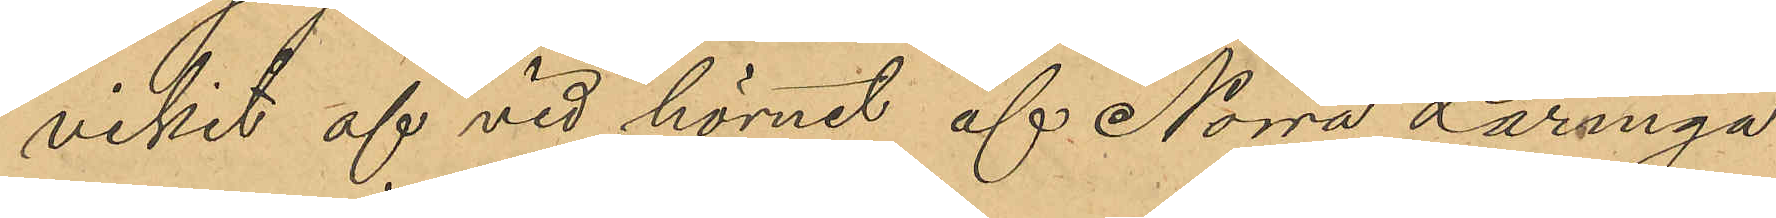vikit af vid hörnet af Norra Larmga¬
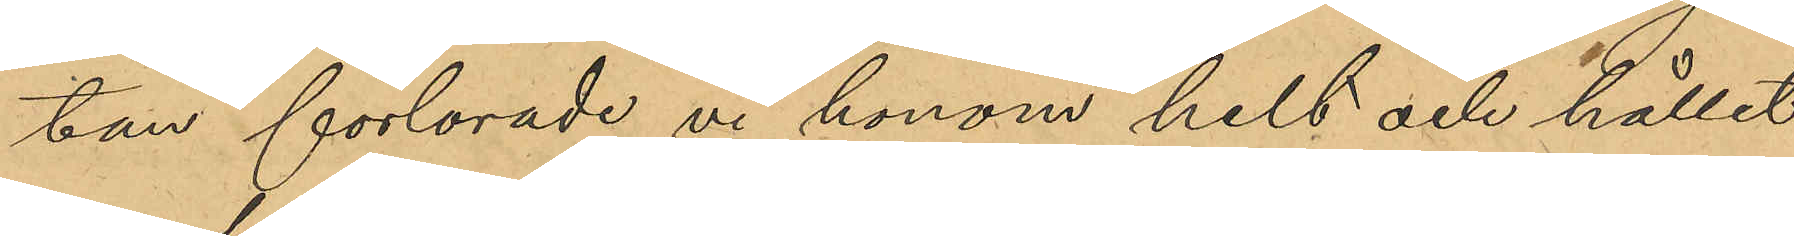tan förlorade vi honom helt och hållet
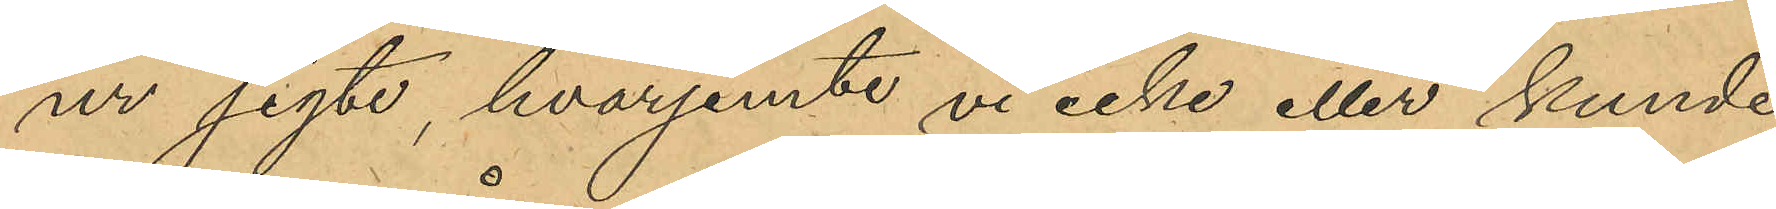ur sigte, hvarjemte vi icke eller kunde
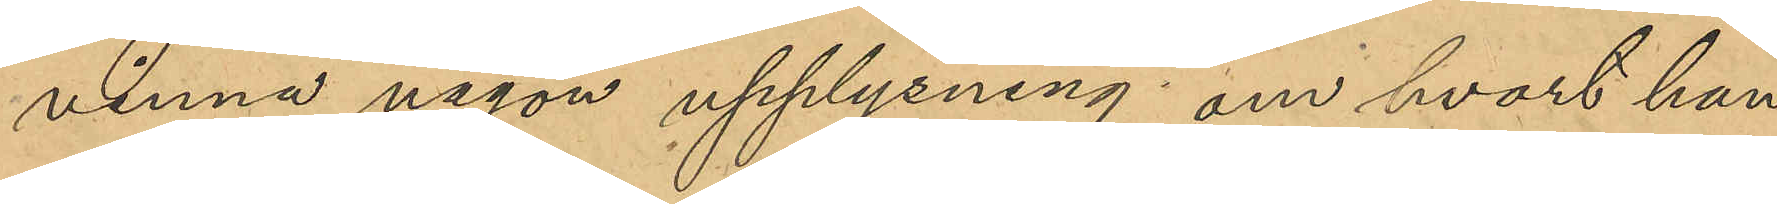vinna någon upplysning om hvart han
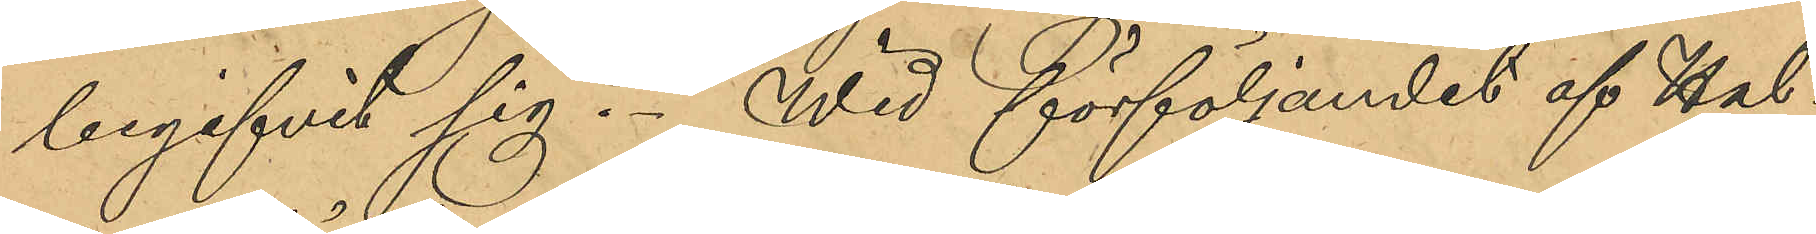begifvit sig. Wid förföljandet af Hal¬
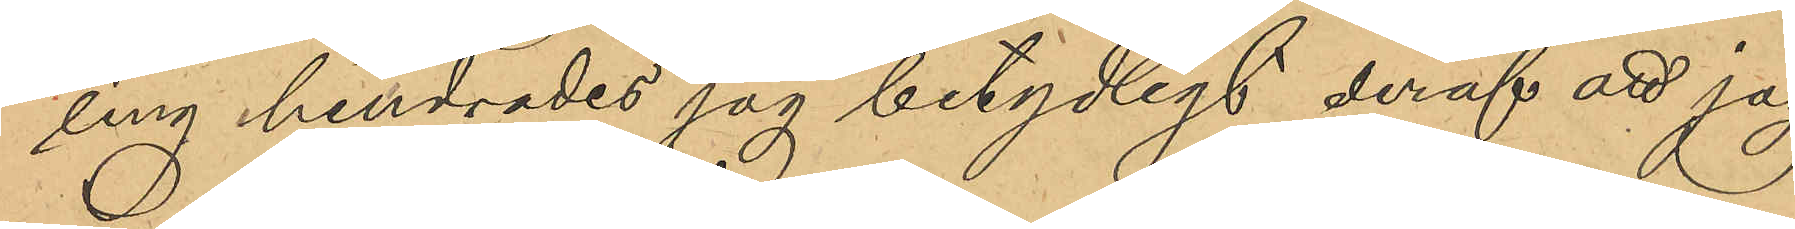ling hindrades jag betydligt deraf att jag
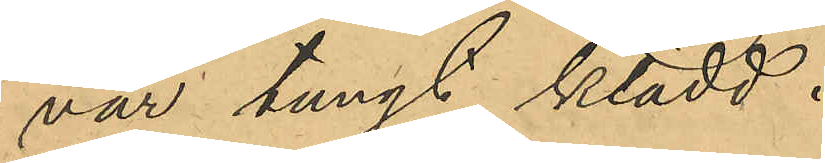var tungt klädd.
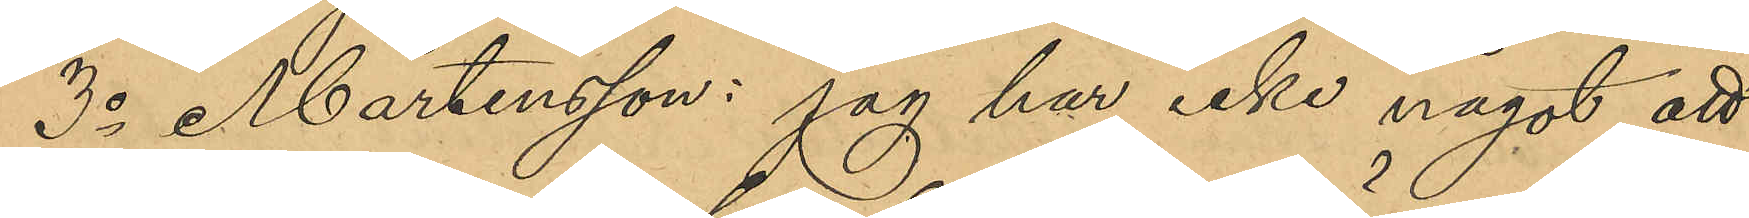3o Mårtensson: jag har icke något att
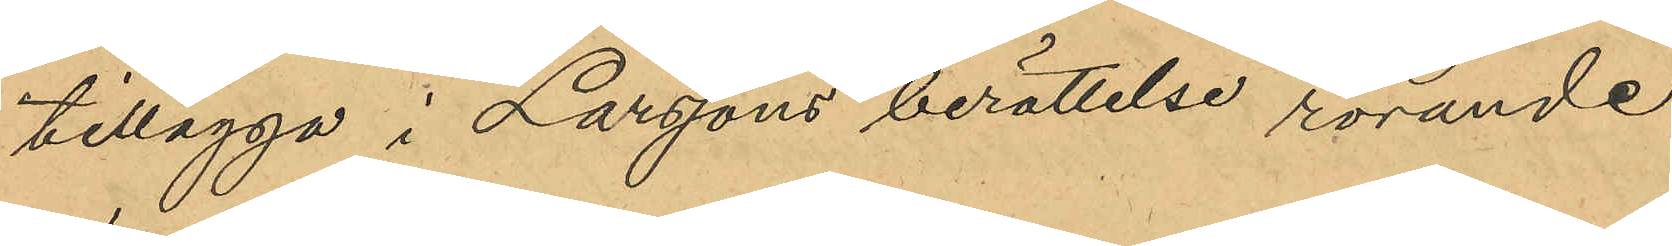tillägga i Larssons berättelse rörande
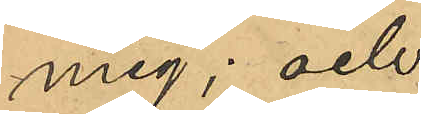mig; och
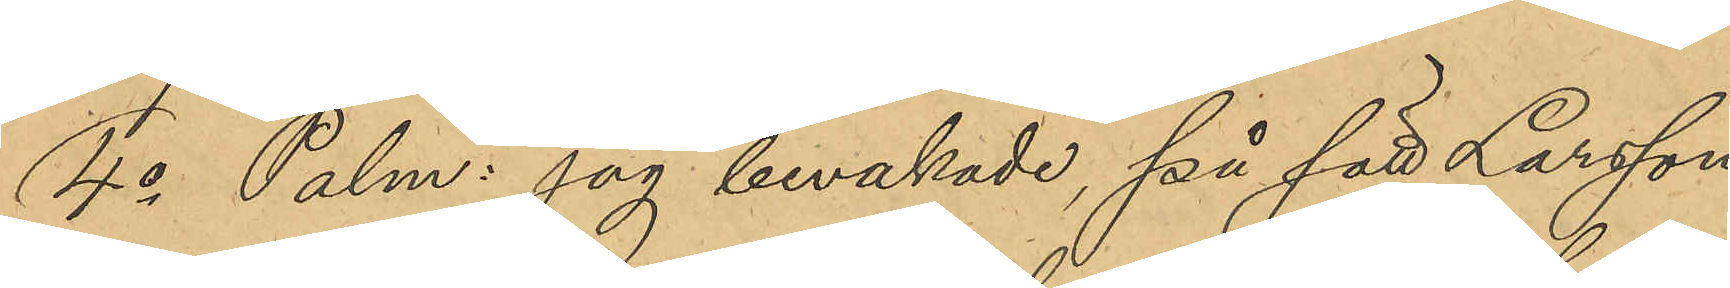4o Palm: jag bevakade på sätt Larsson
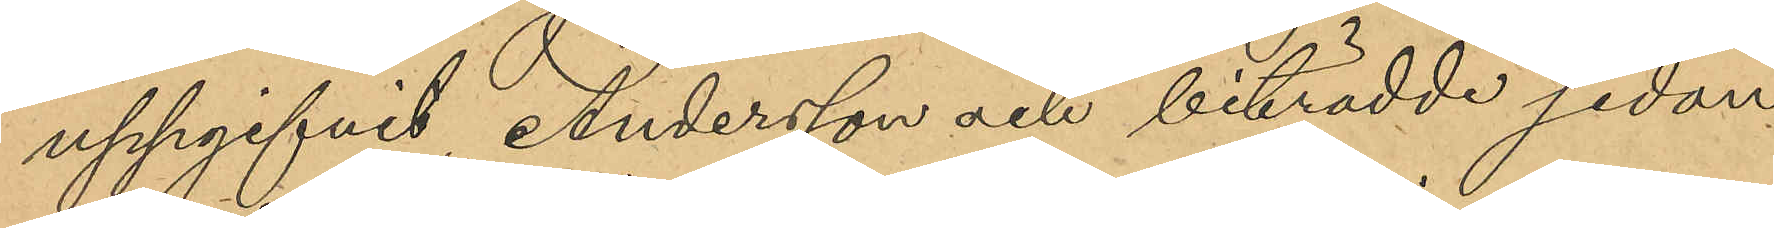uppgifvit Andersson och biträdde sedan
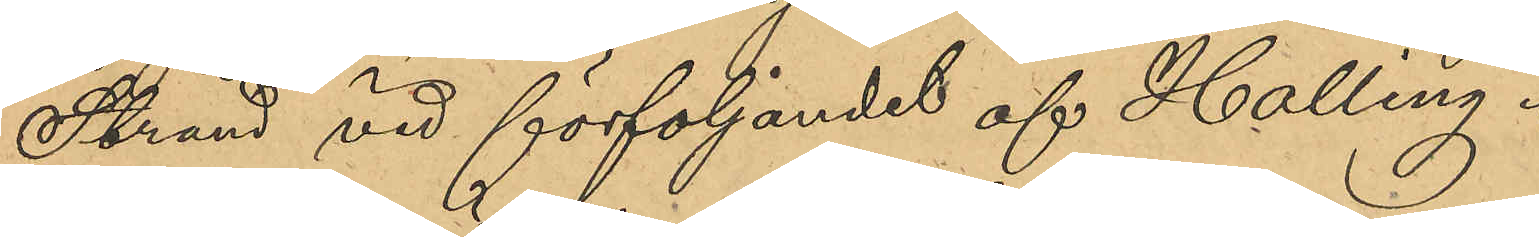Strand vid förföljandet af Halling.
